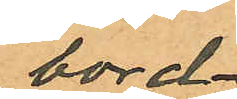bord¬
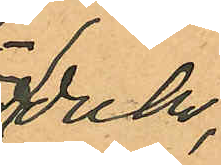duk,
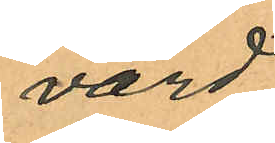värd
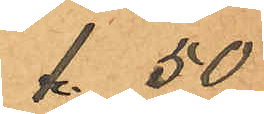1.50
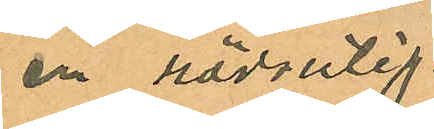en rödrutig
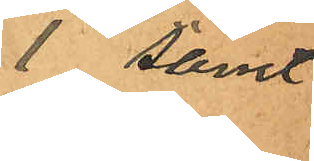1 samt
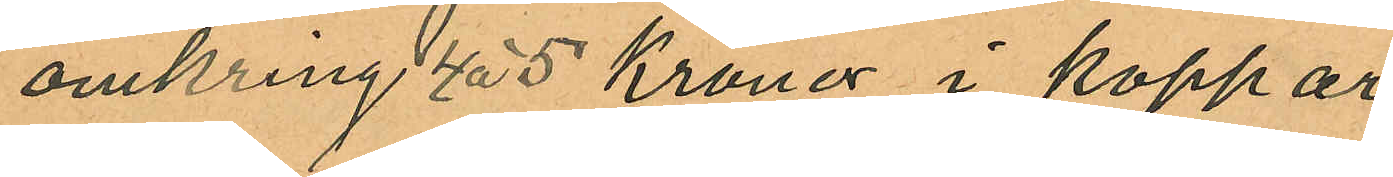omkring 4 á 5 Kronor i koppar
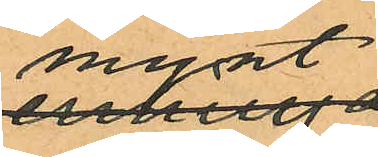mynt
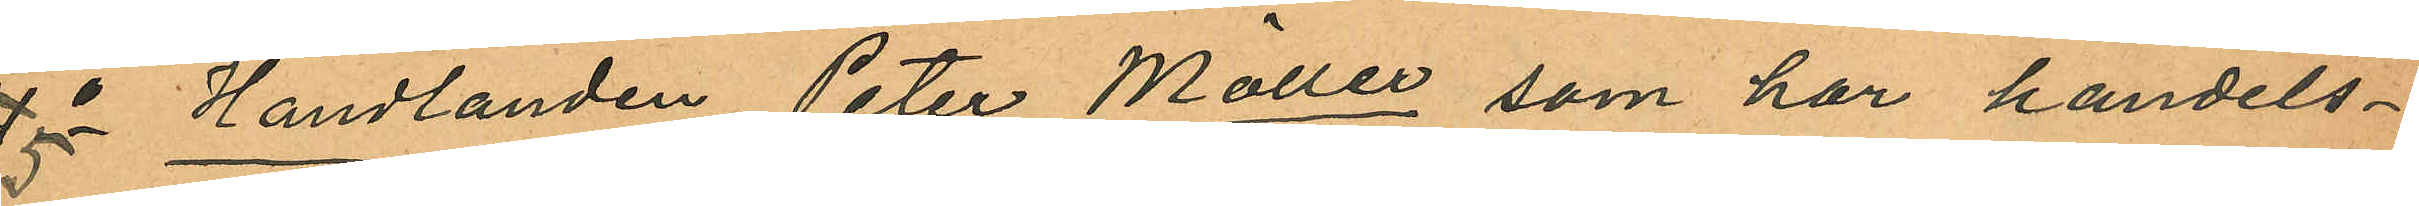4 5o Handlanden Peter Möller, som har handels¬
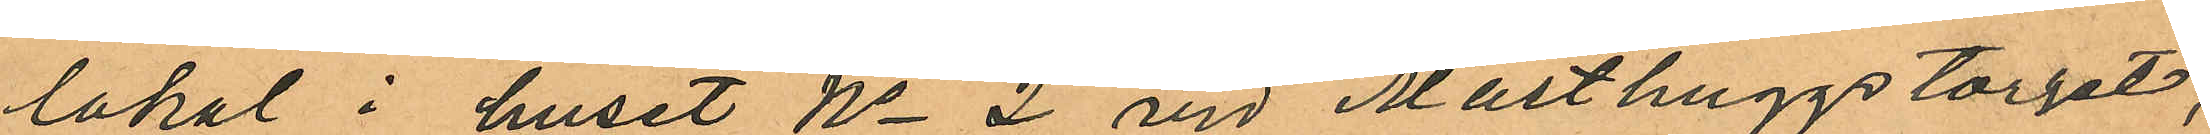lokal i huset No 2 vid Masthuggstorget,
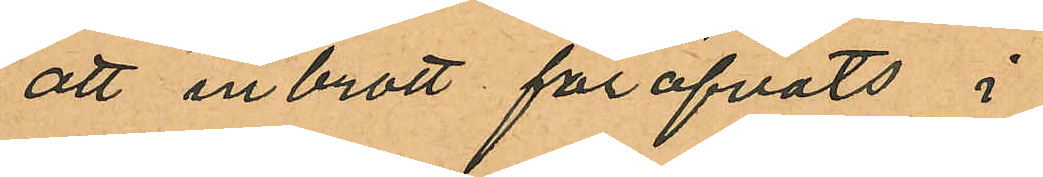att inbrott föröfvats i
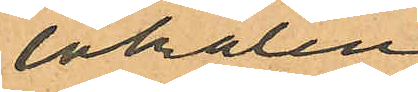lokalen
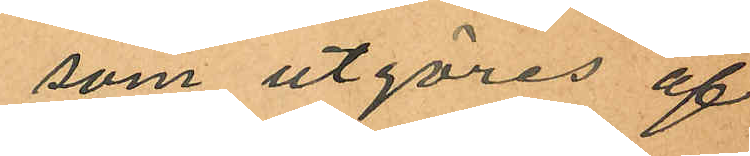som utgöres af
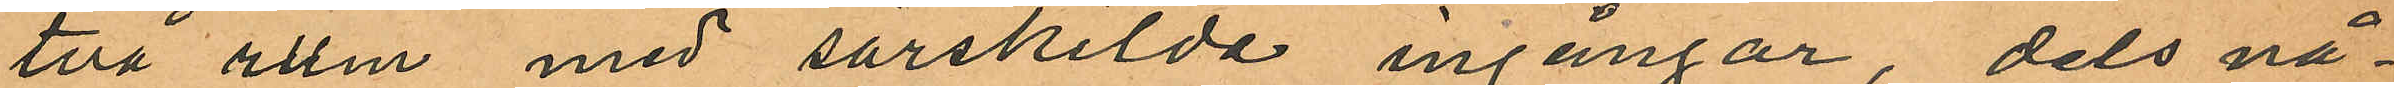två rum med särskilda ingångar, dels nå¬
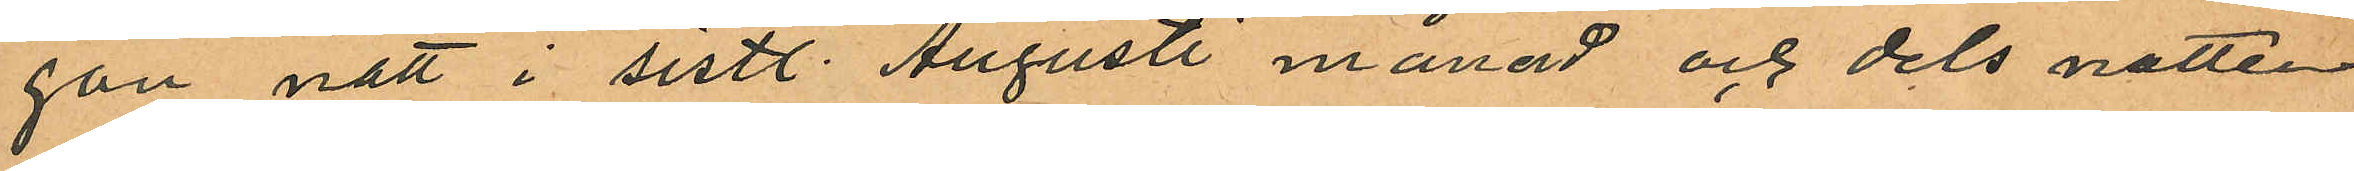gon natt i sistl. Augusti månad och dels natten
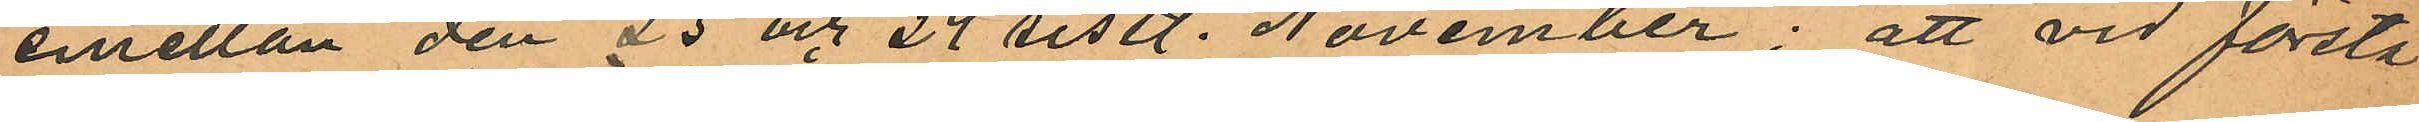emellan den 23 och 24 sistl. November; att vid första
